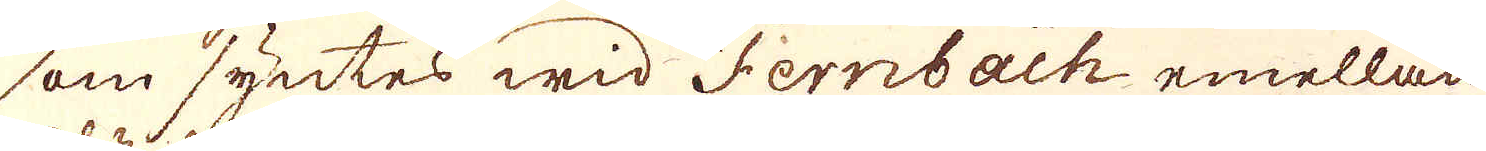som syntes wid Fernbach emellan
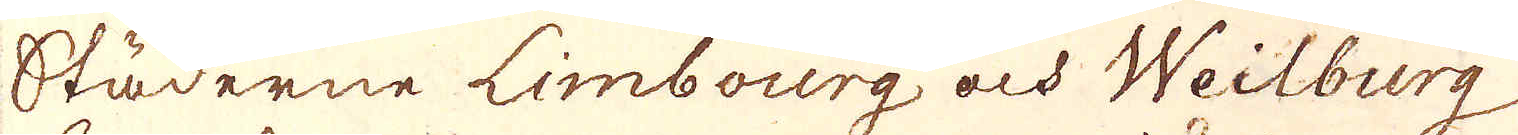Städerne Limbourg och Weilburg,
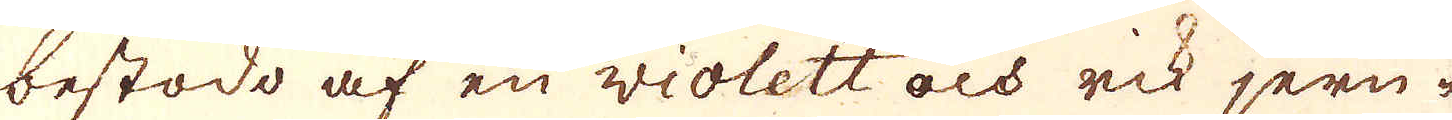bestodo af en violett och rik jern-
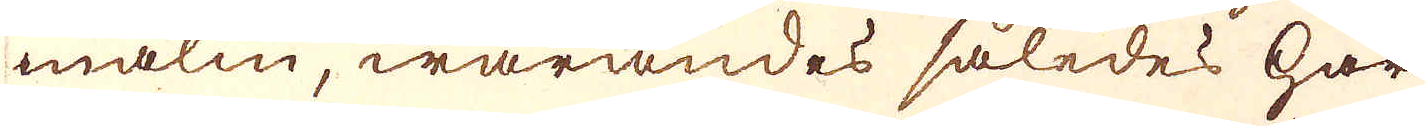malm, warandes således här
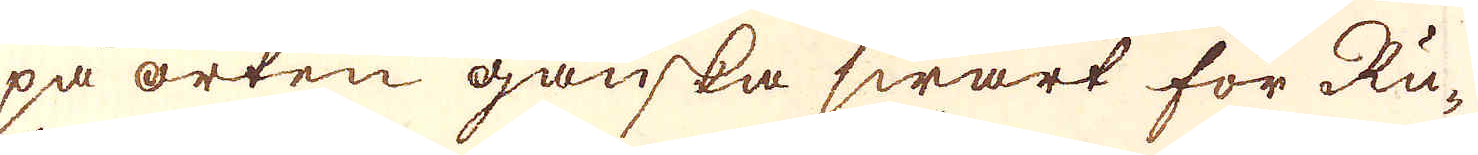på orten ganska swårt för Ru-
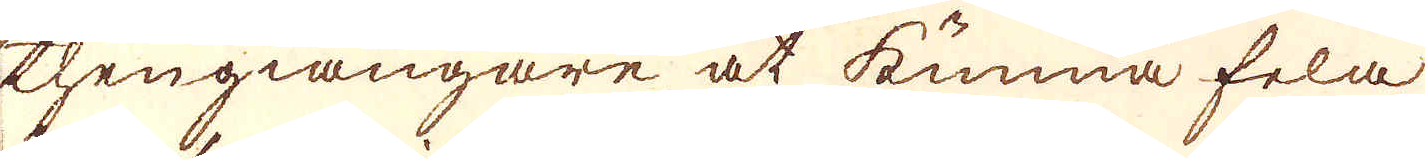thengiängare at kunna fela
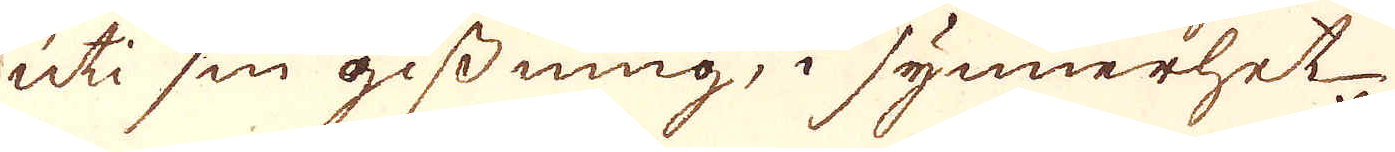uti sin gissning, i synnerhet
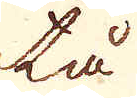tå
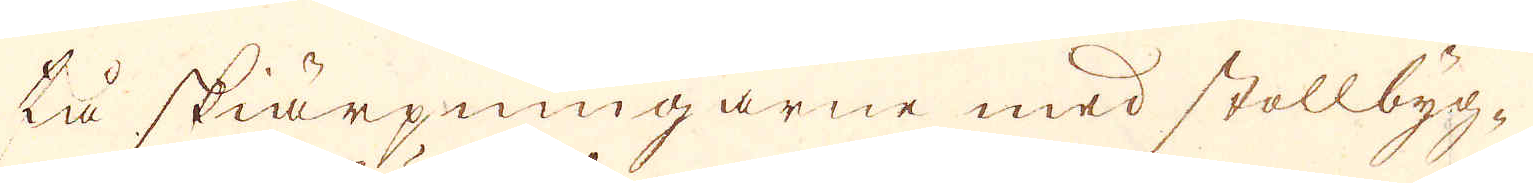tå skiärpningarne med stollbyg-
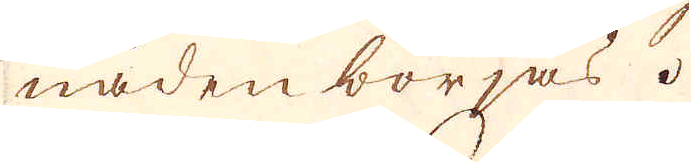naden börjas.
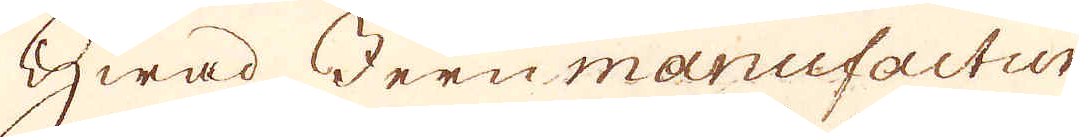Hwad Jernmanufactur
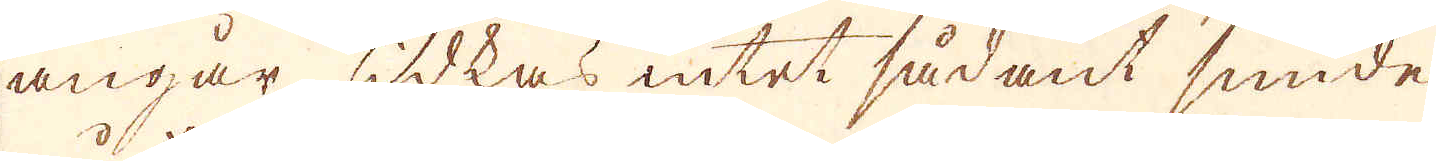angår, idkas intet sådant smide
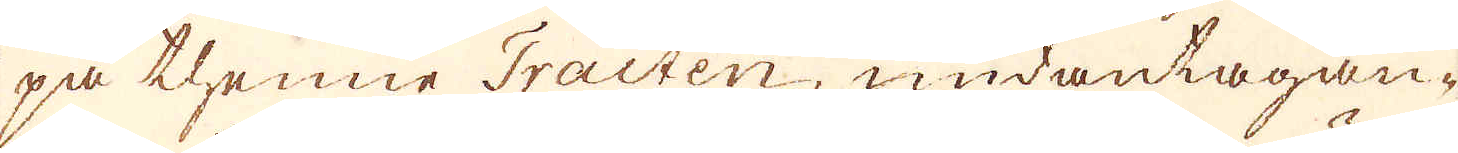på thenne Tracten, undantagan-
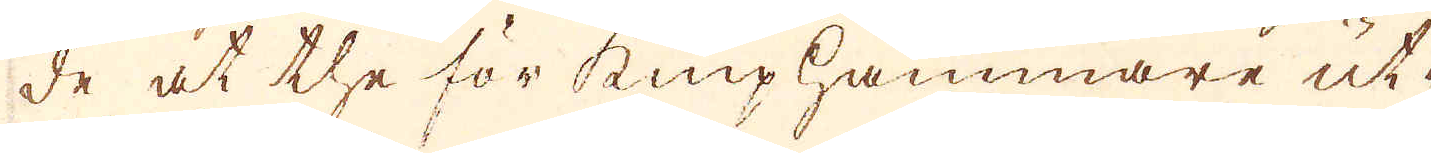de at the för kniphammare ut-
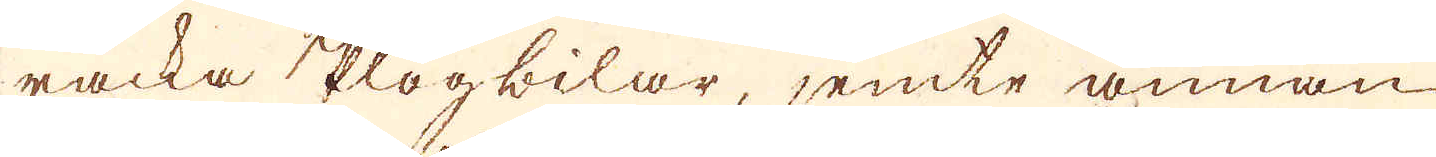räcka plogbilar, jemte annan
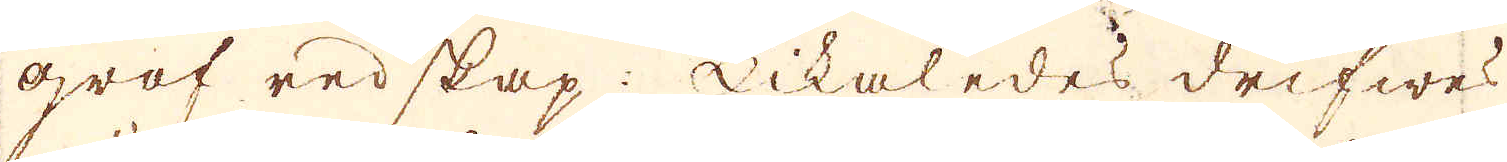gref redskap: Likaledes, drifwes
